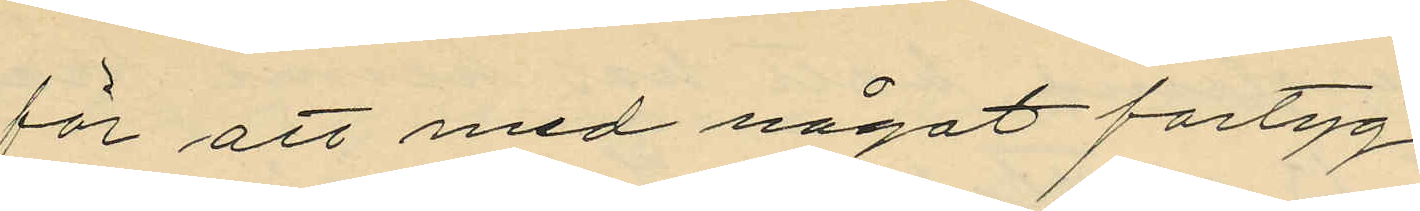för att med något fartyg
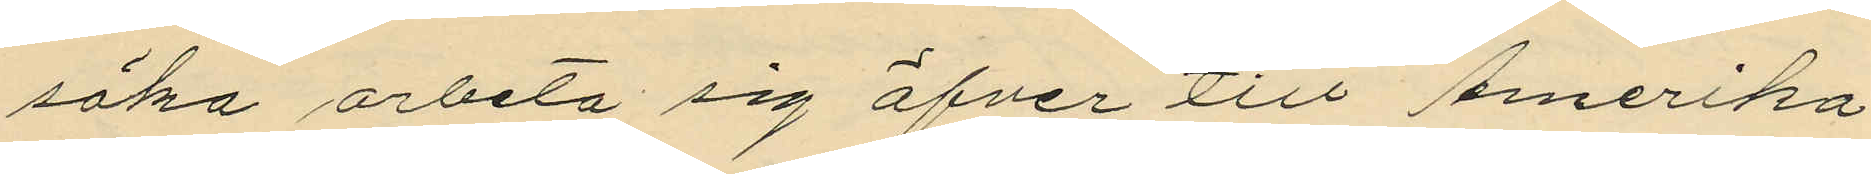söka arbeta sig öfver till Amerika,
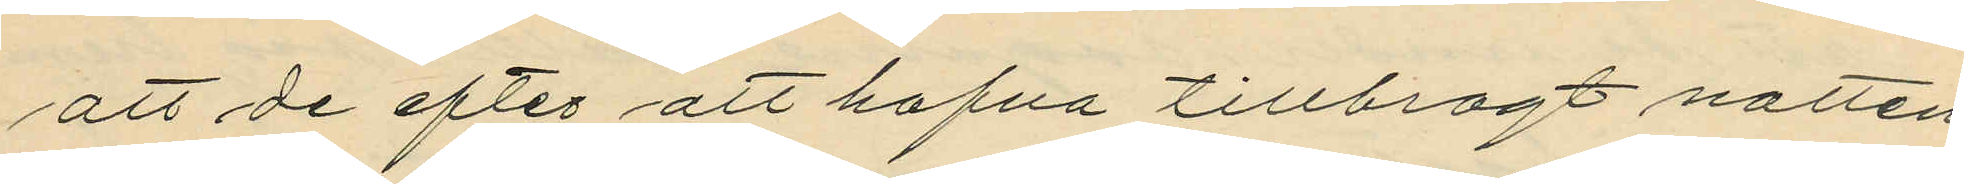att de efter att hafva tillbragt natten
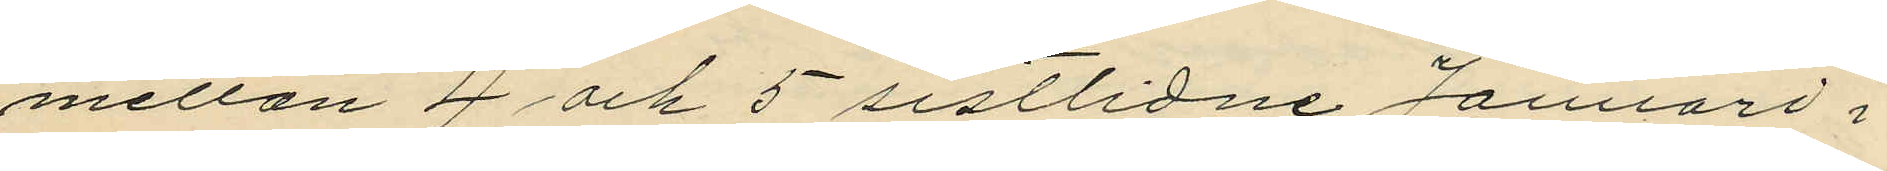mellan 4 och 5 sistlidne Januari i
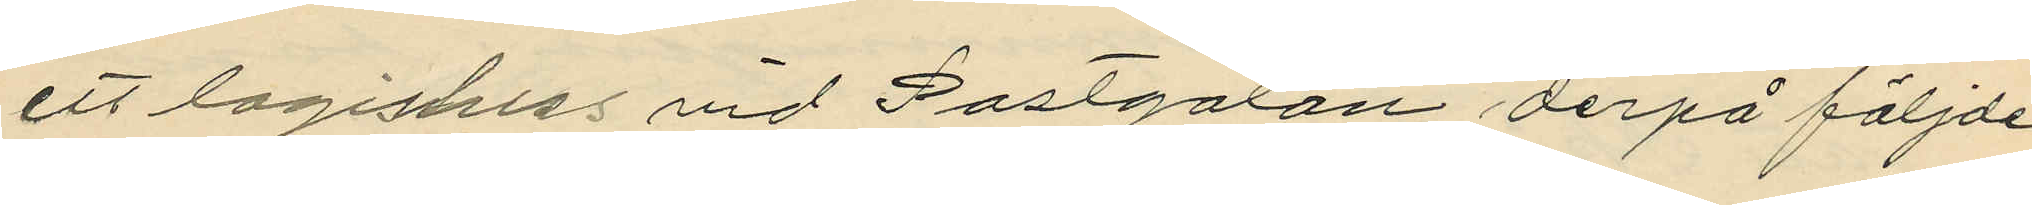ett logishus vid Postgatan derpå följde
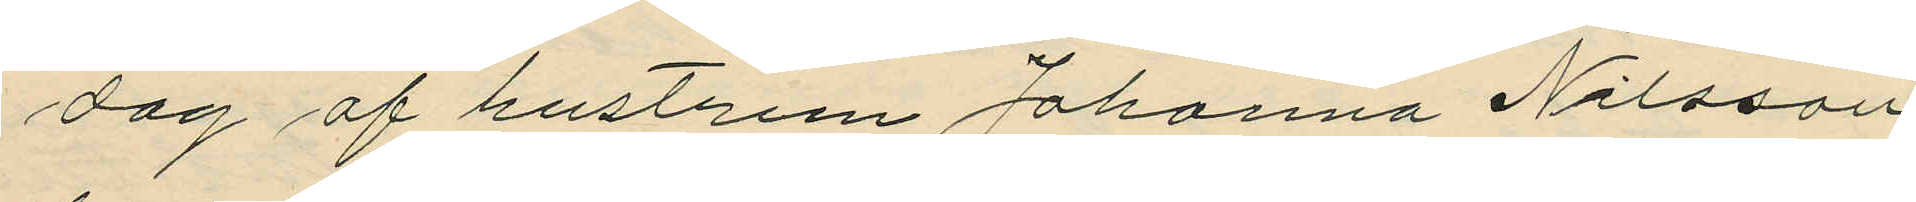dag af hustrun Johanna Nilsson
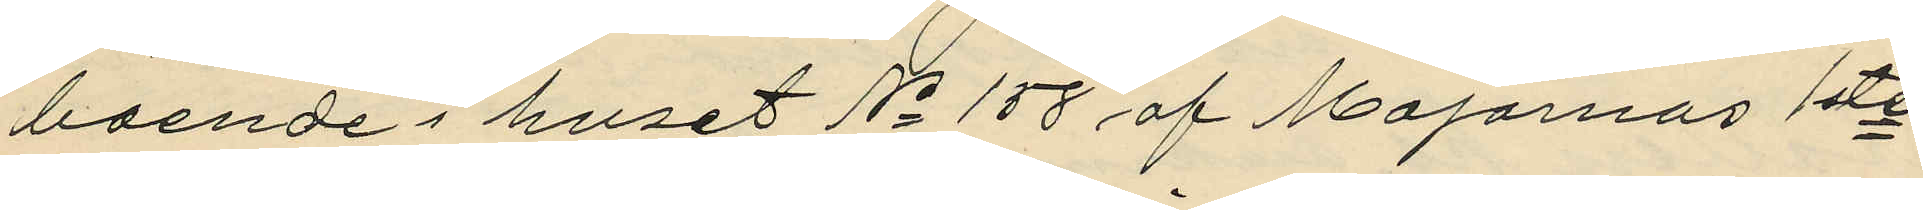boende i huset No 158 af Majornas 1ste
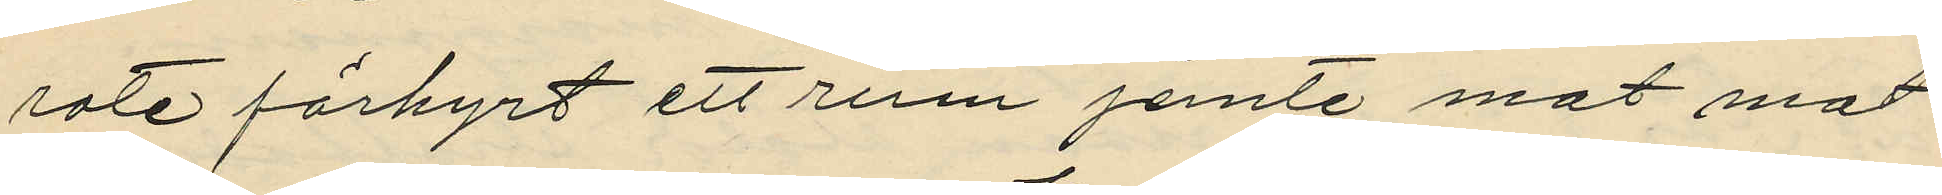rote förhyrt ett rum jemte mat mot
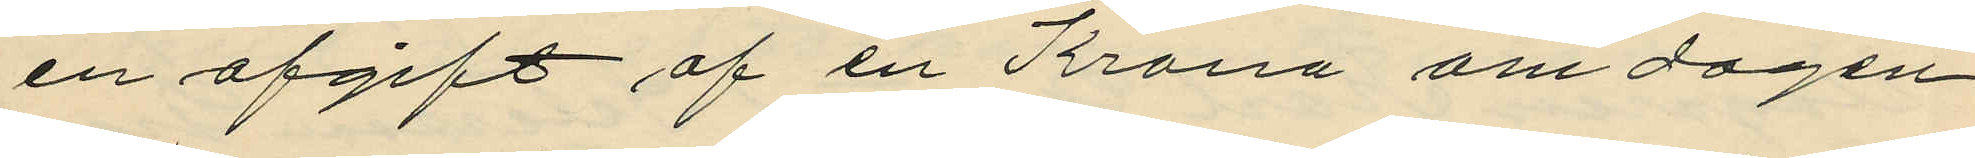en afgift af en Krona om dagen
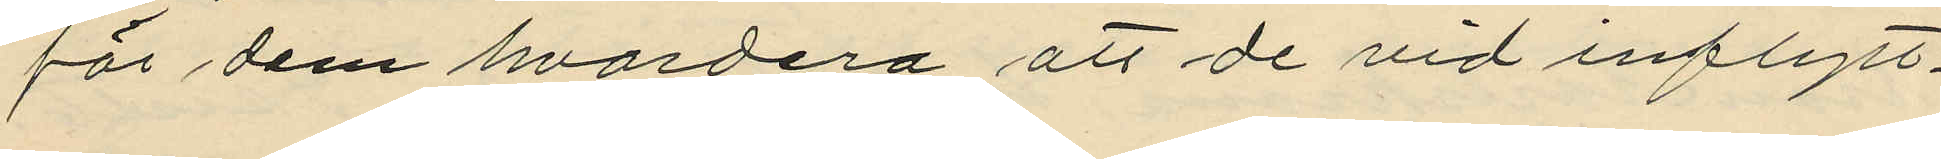för dem hvardera att de vid inflytt¬
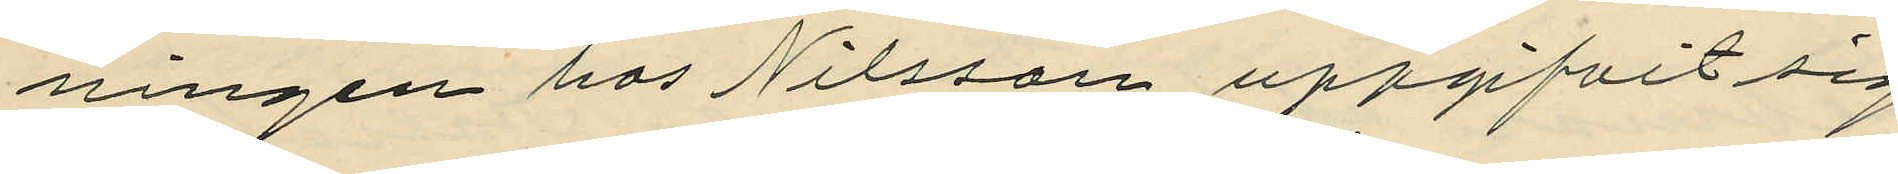ningen hos Nilsson uppgifvit sig
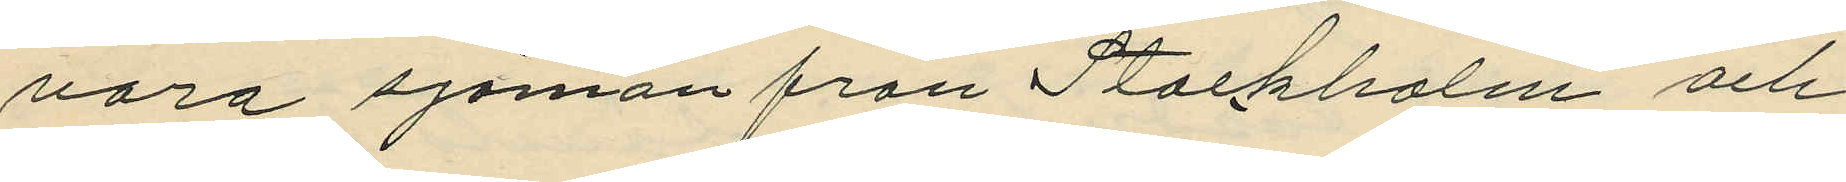vara sjömän från Stockholm och
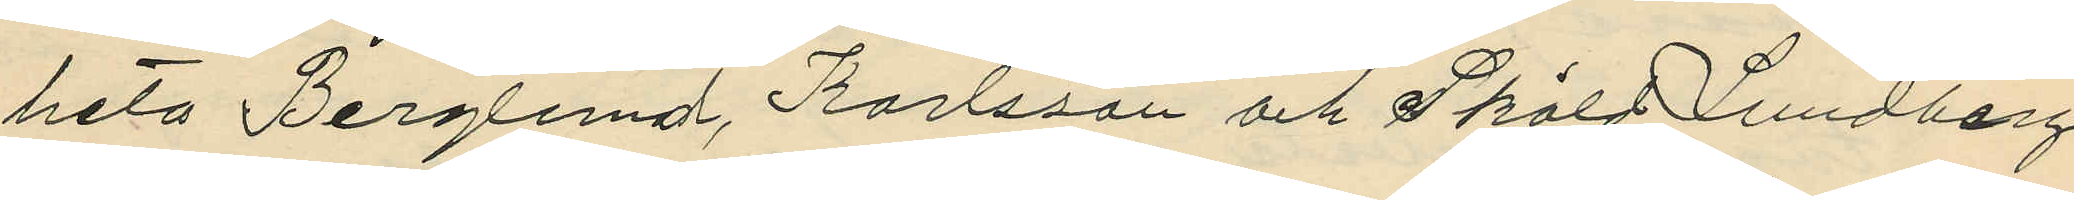heta Berglund, Karlsson och Sköld, Lundberg,
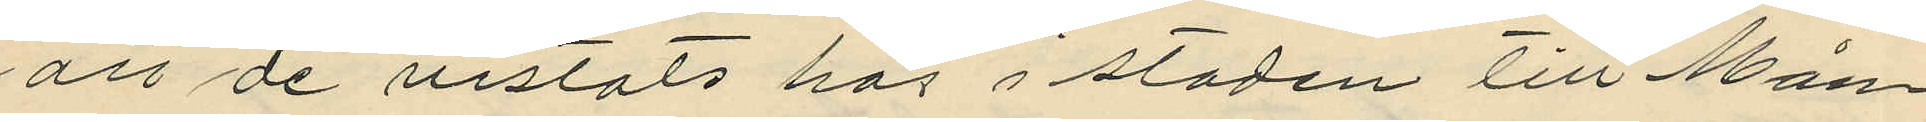att de vistats här i staden till Mån¬
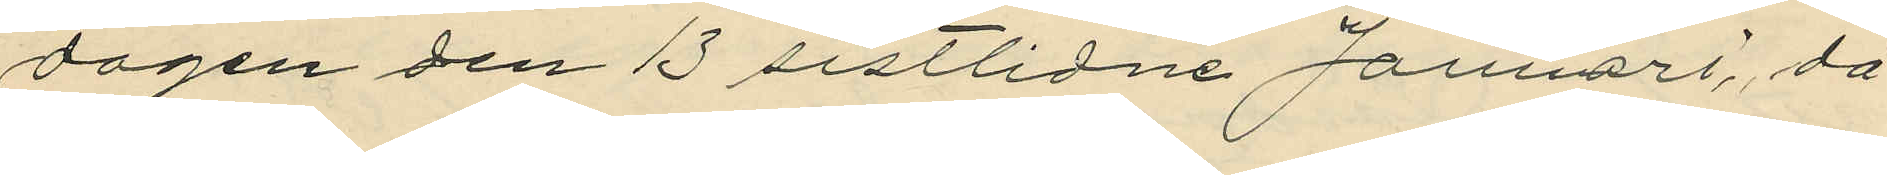dagen den 13 sistlidne Januari, då
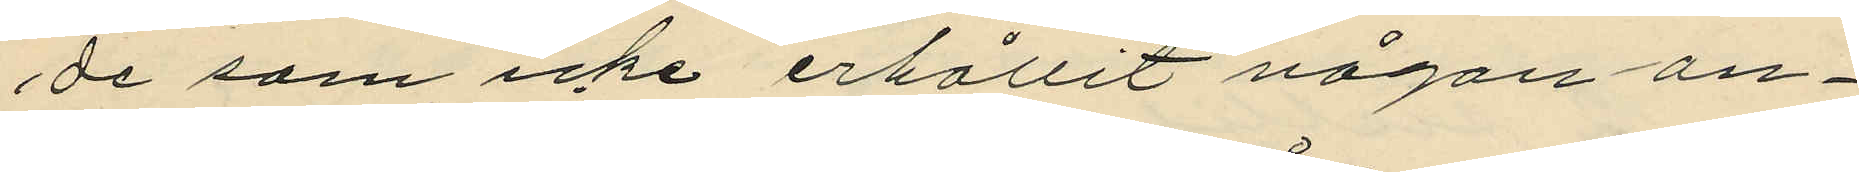de som icke erhållit någon an¬
